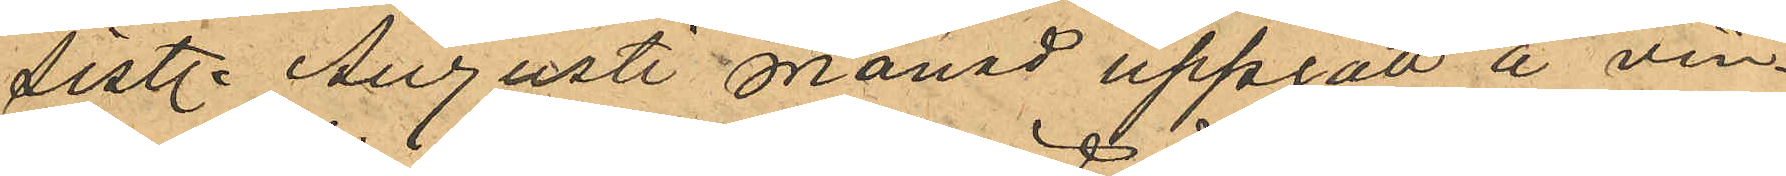sist. Augusti månad uppgått å vin¬
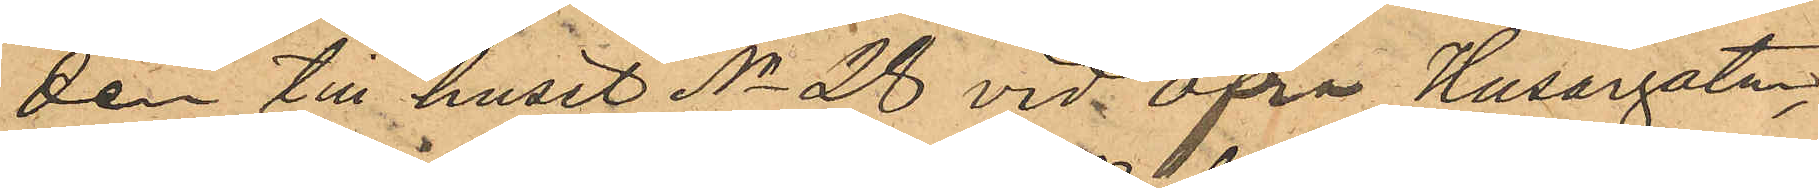den till huset No 28 vid Öfra Husargatan,
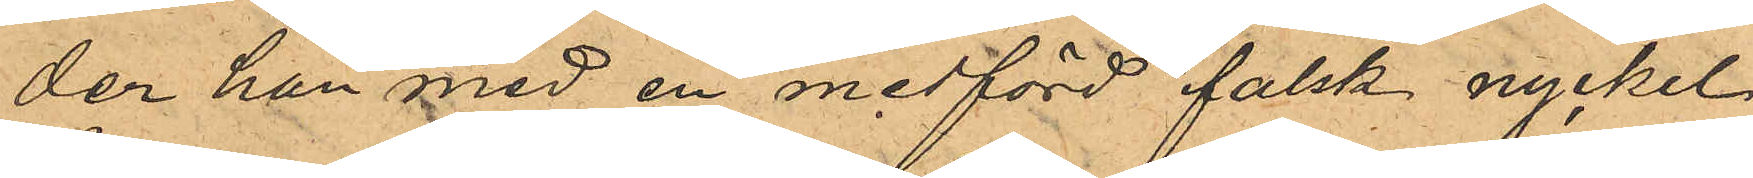der han med en medförd falsk nyckel
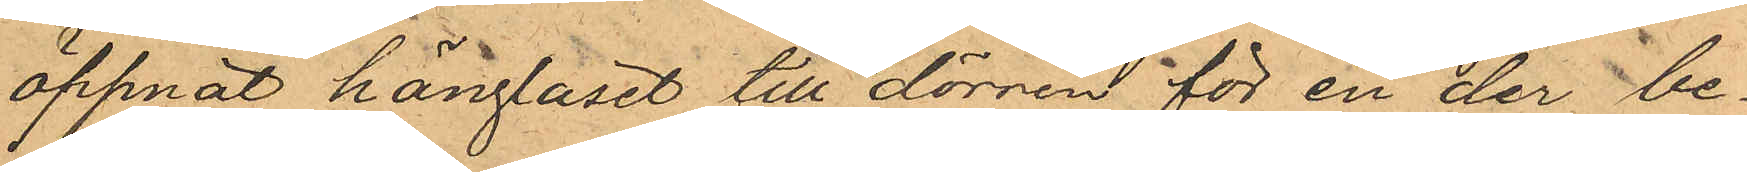öppnat hänglåset till dörren för en der be¬
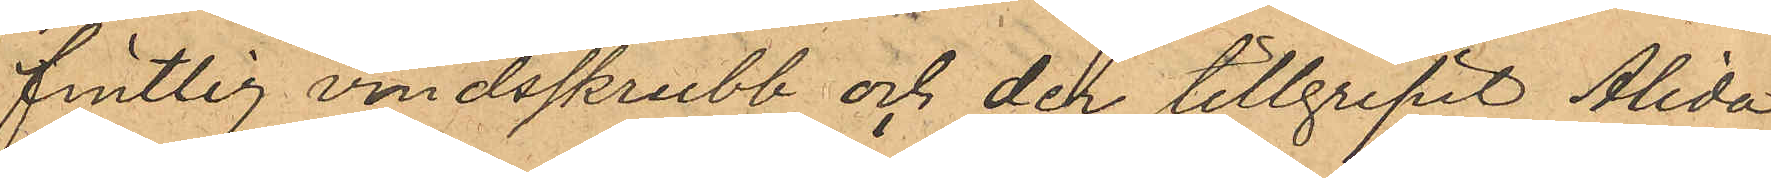fintlig vindsskrubb och der tillgripit Alida
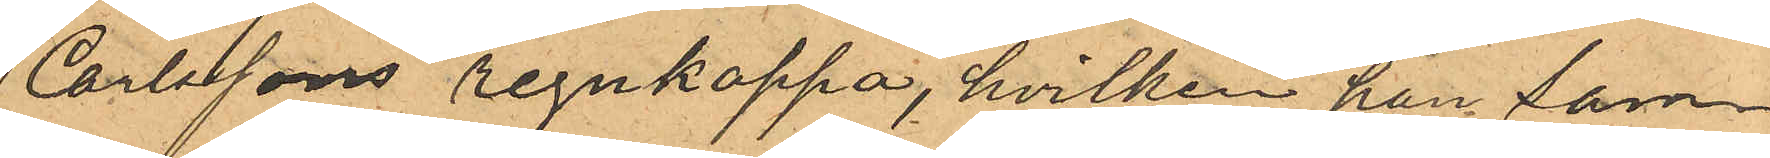Carlssons regnkappa, hvilken han sam¬
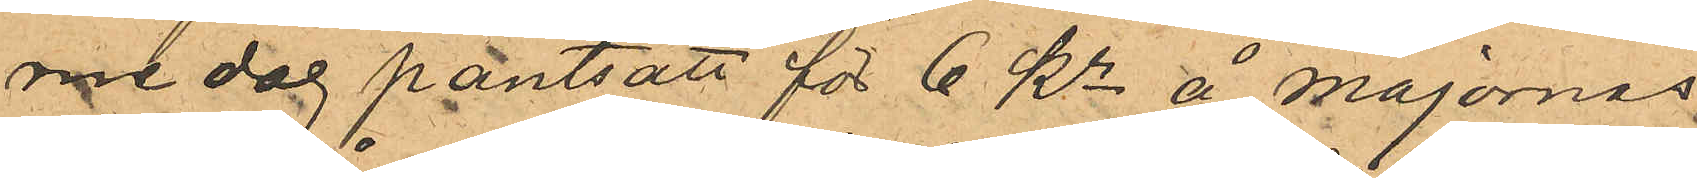me dag pantsatt för 6 Kr å Majornas
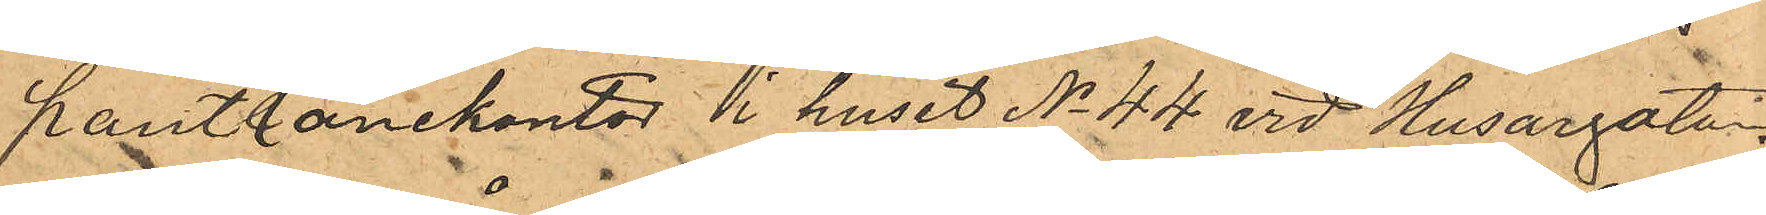pantlånekontor i huset No 44 vid Husargatan,
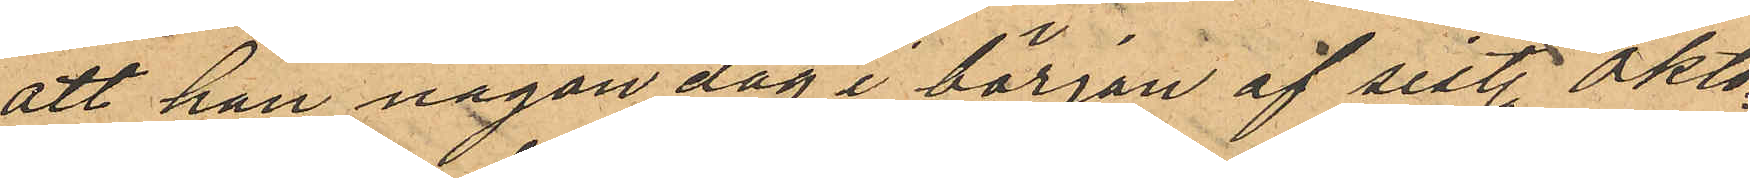att han någon dag i början af sist. Okto¬
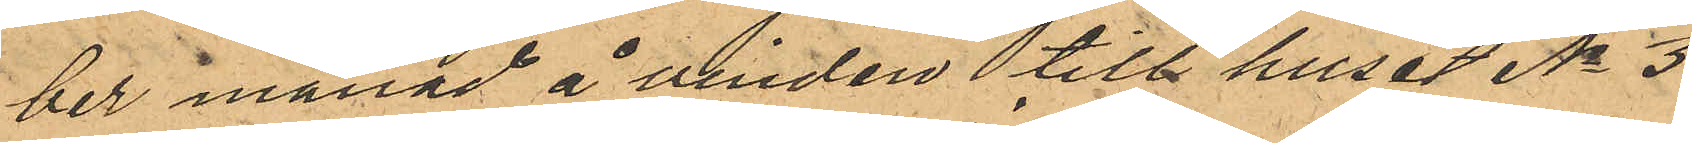ber månad å vinden till huset No 3
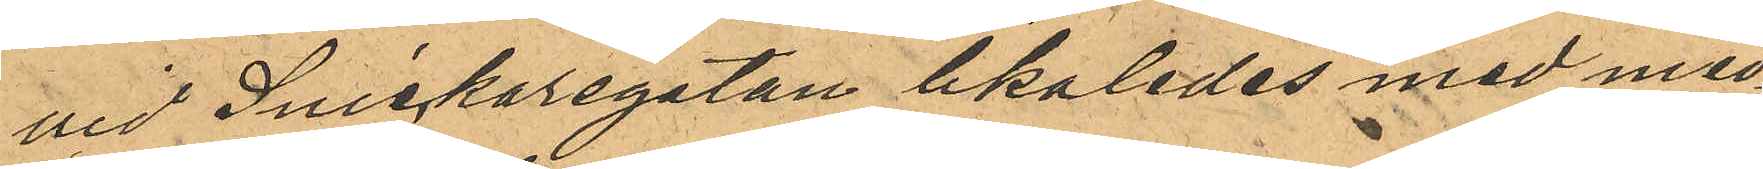vid Snickaregatan likaledes med med¬
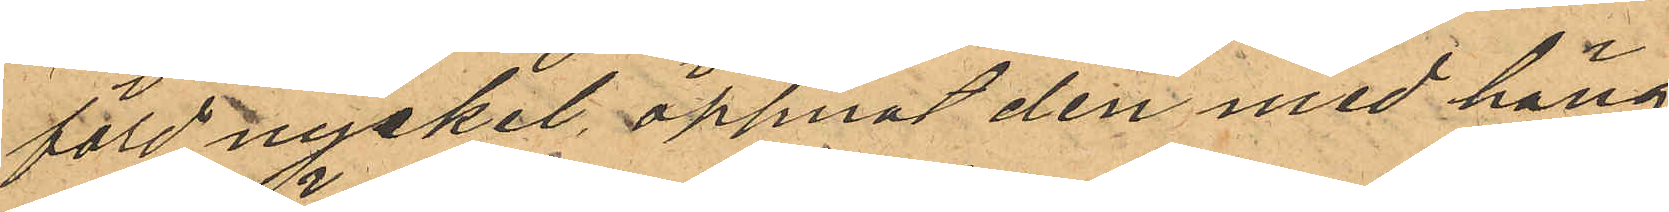förd nyckel, öppnat den med häng¬
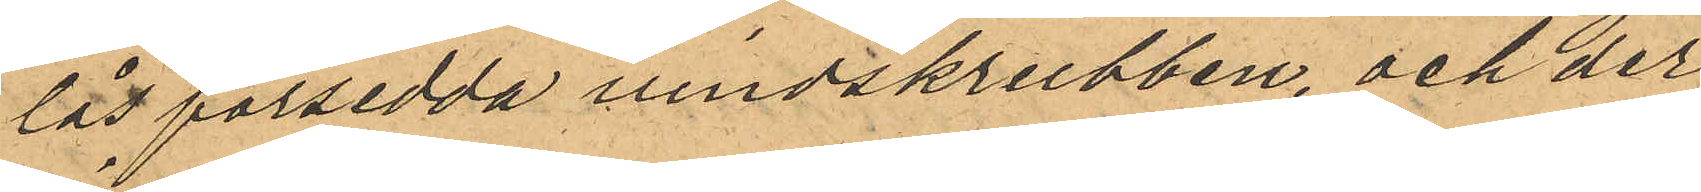lås försedda vindskrubben, och der
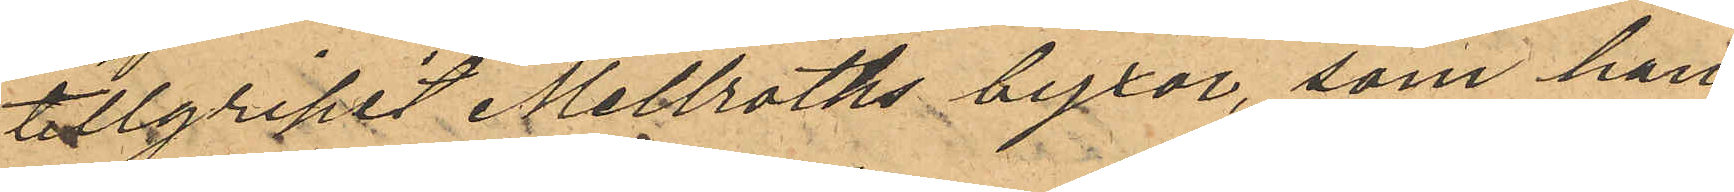tillgripit Mellroths byxor, som han
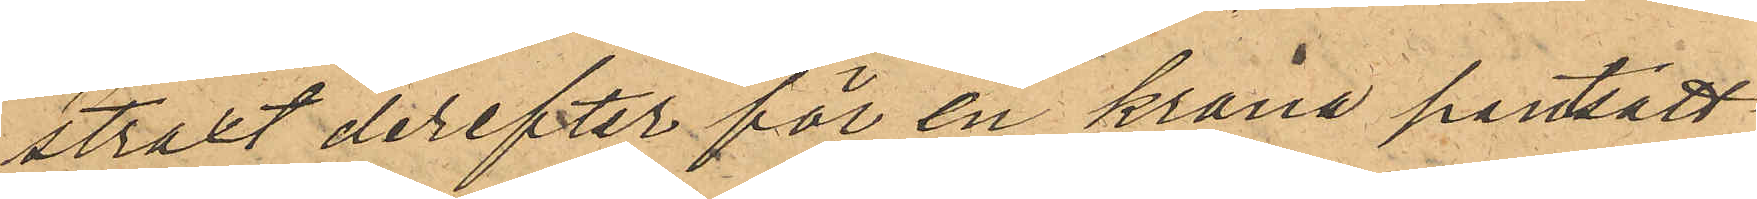straxt derefter för en krona pantsatt
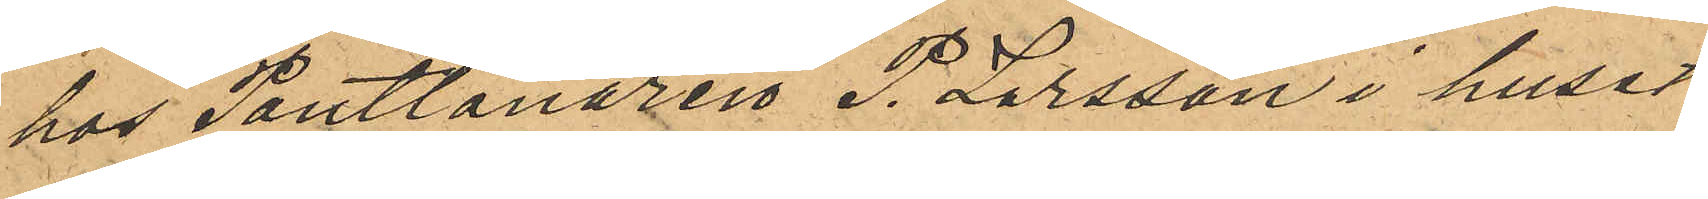hos Pantlånaren P. Larsson i huset
